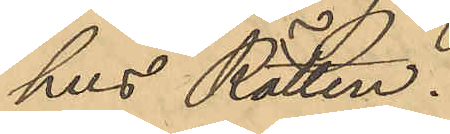hus Rätten.
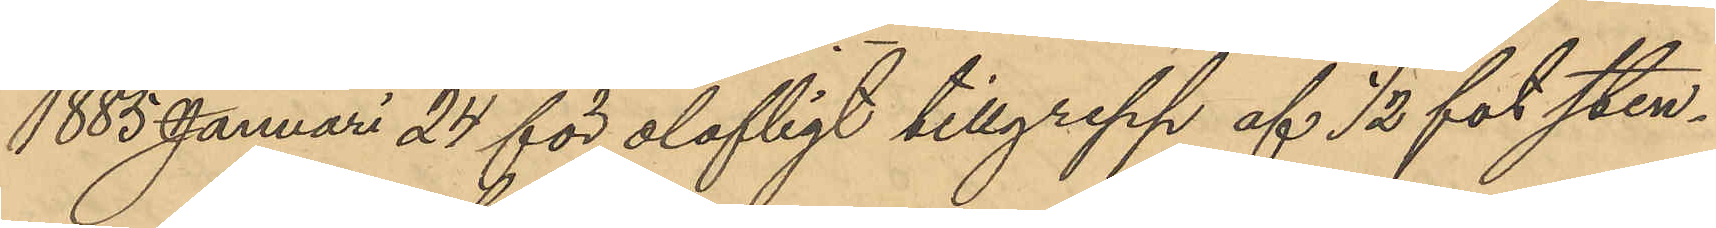1885 Januari 27 för olofligt tillgrepp af 1/2 fot sten¬
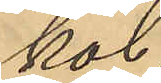kol.
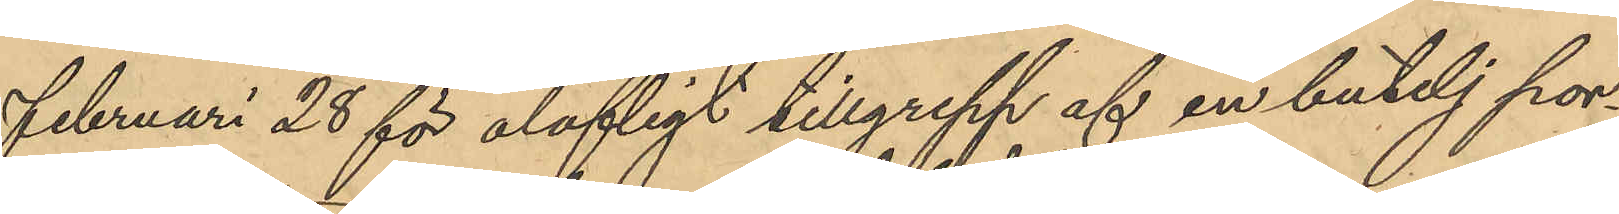Februari 28 för olofligt tillgrepp af en butelj por¬
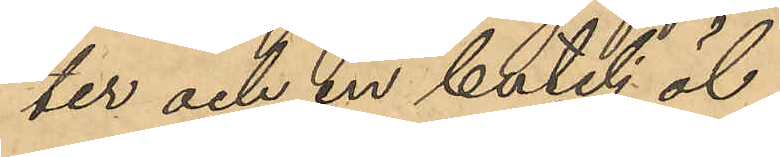ter och en butelj öl,
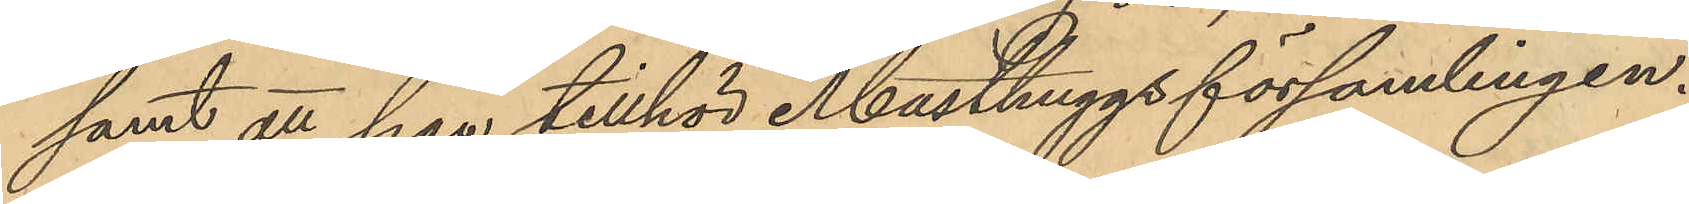samt att han tillhör Masthuggsförsamlingen.
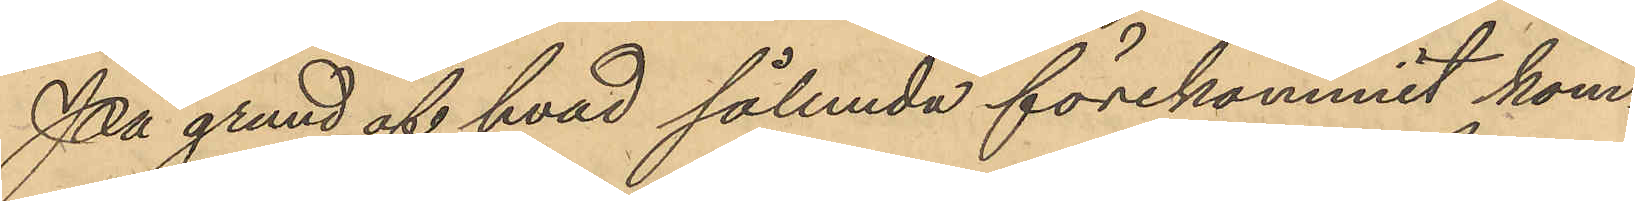På grund af hvad sålunda förekommit kom¬
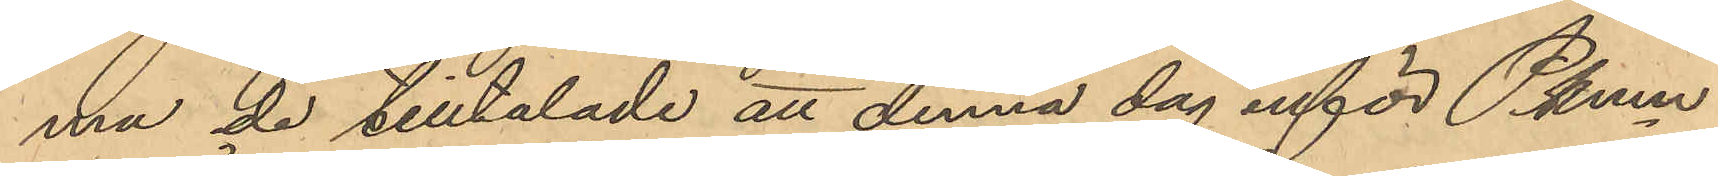ma de tilltalade att denna dag inför Pkmn
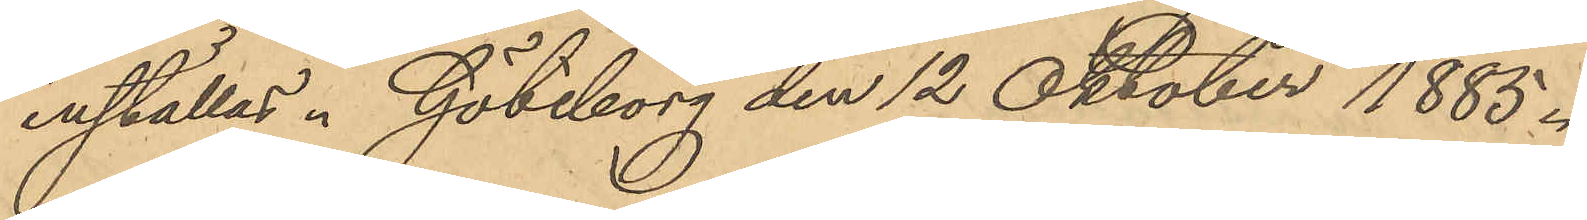inställas. Göteborg den 12 Oktober 1885.
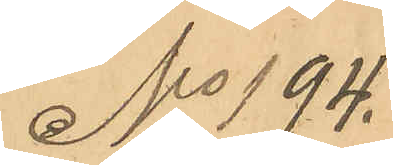No 194.
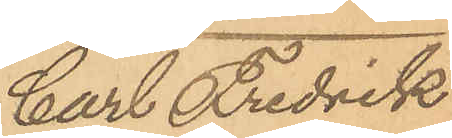Carl Fredrik
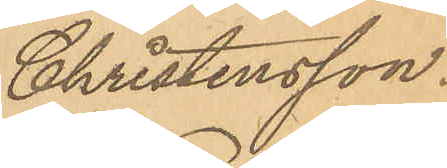Christensson.
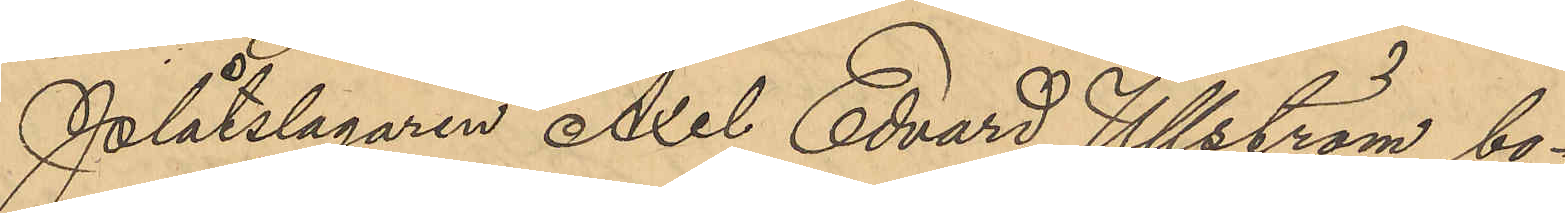Plåtslagaren Axel Edvard Ullström bo¬
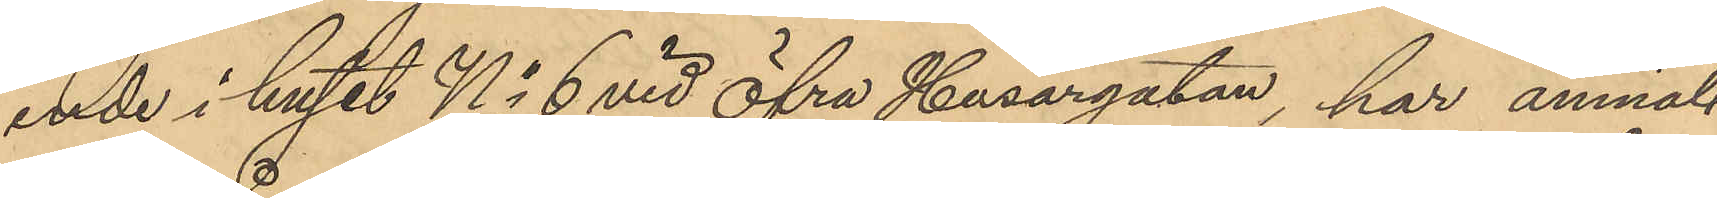ende i huset No 6 vid Öfra Husargatan, har anmäl¬
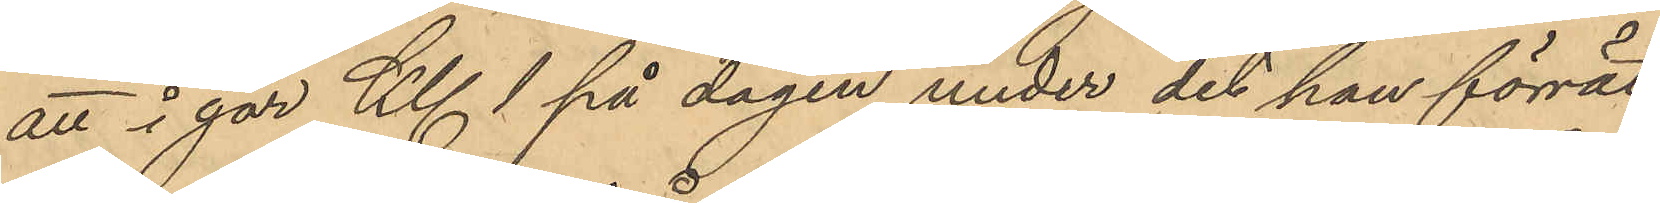att i går Kl 1 på dagen under det han förrät¬
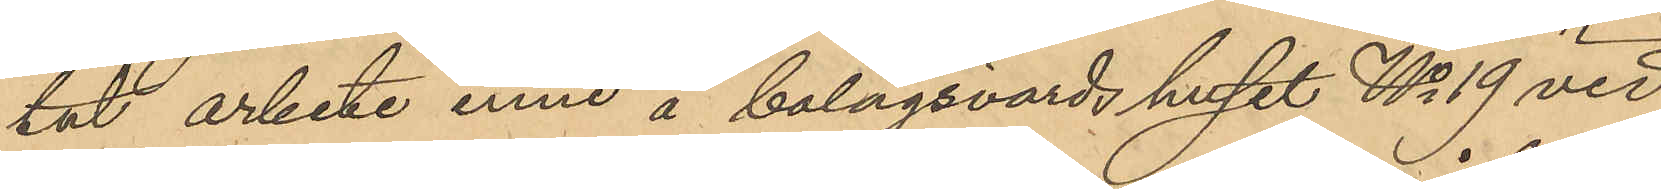tat arbete inne å bolagsvärds huset No 19 vid
